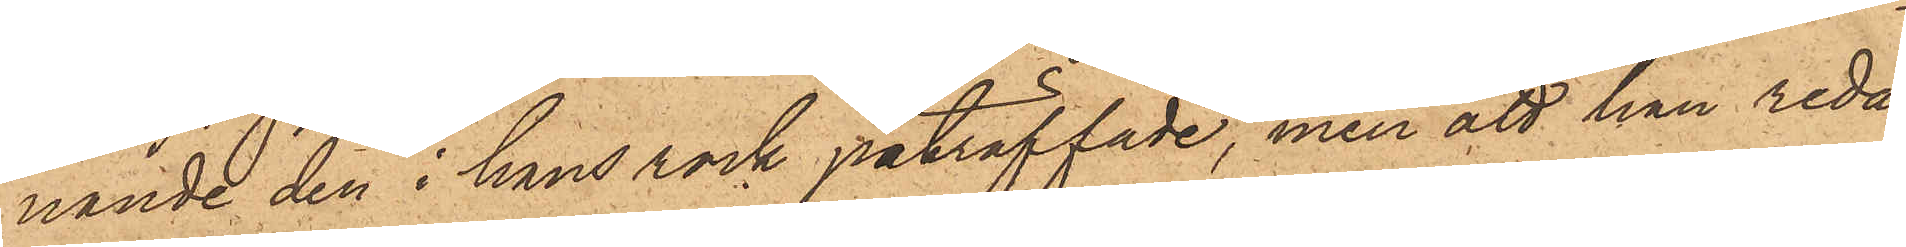nande den i hans rock påträffade, men att han redan
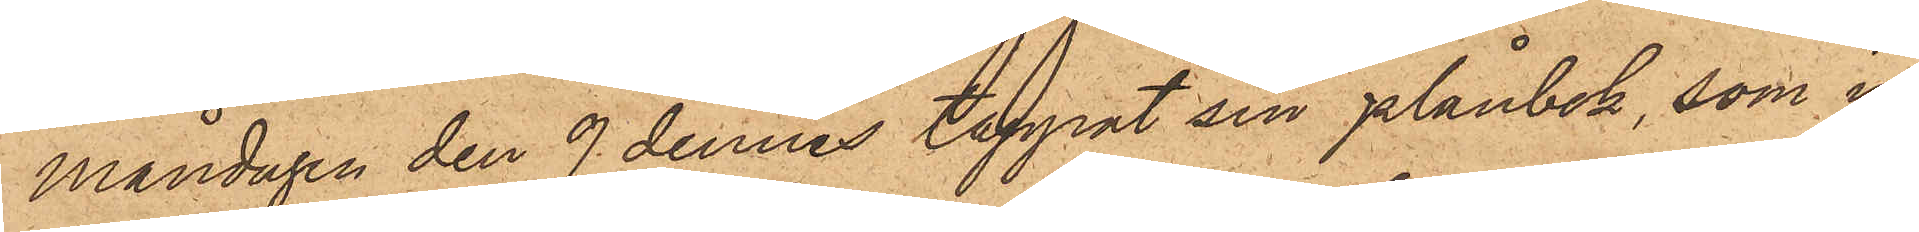Måndagen den 9 dennes tappat sin plånbok, som in¬
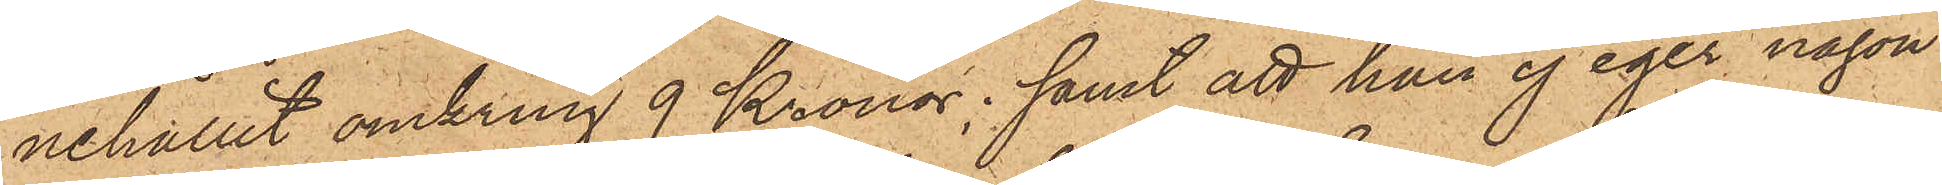nehållit omkring 9 Kronor; samt att han ej eger någon
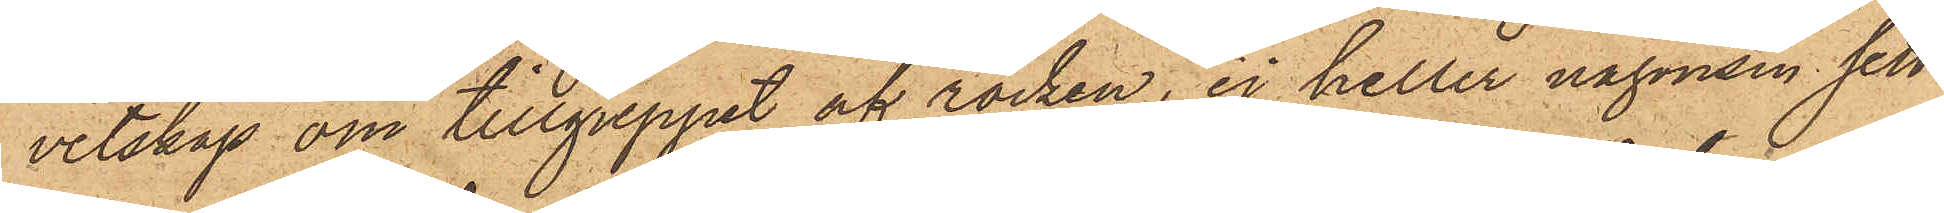vetskap om tillgreppet af rocken, ej heller någonsin, sett
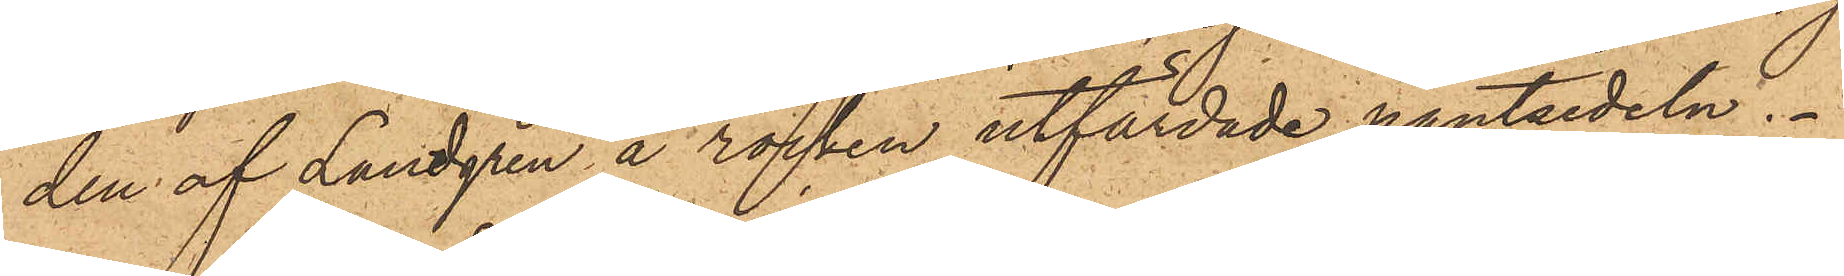den af Lundgren å rocken utfärdade pantsedeln.
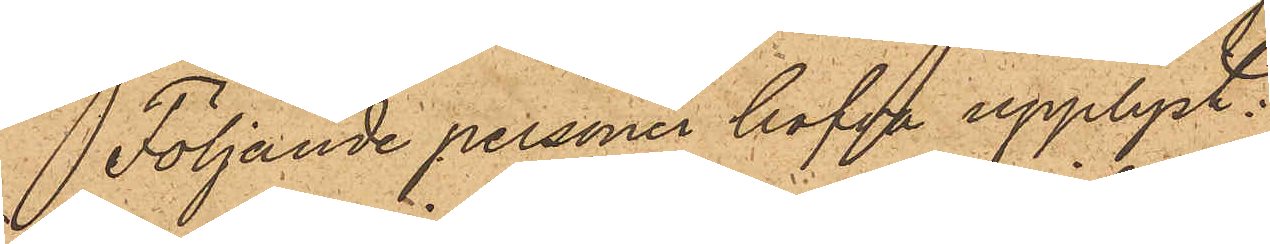Följande personer hafva upplyst:
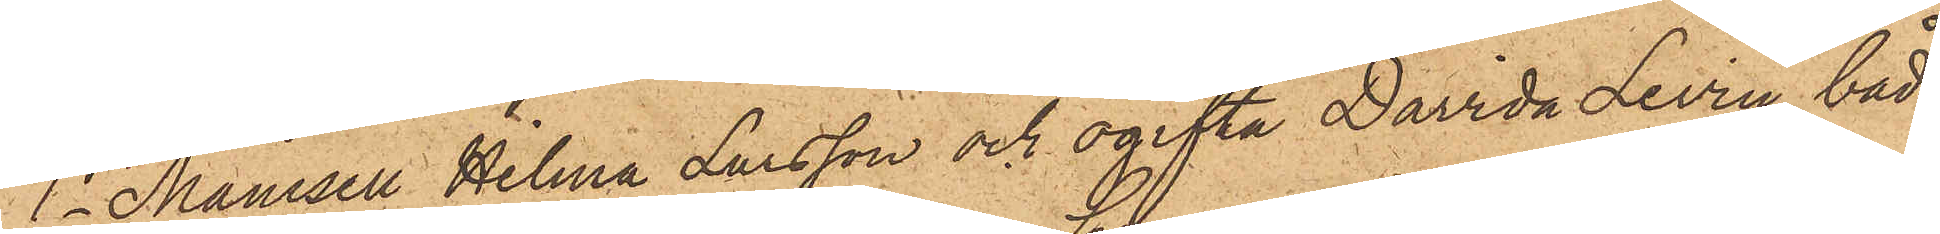1o Mamsell Hilma Larsson och ogifta Davida Levin, båda
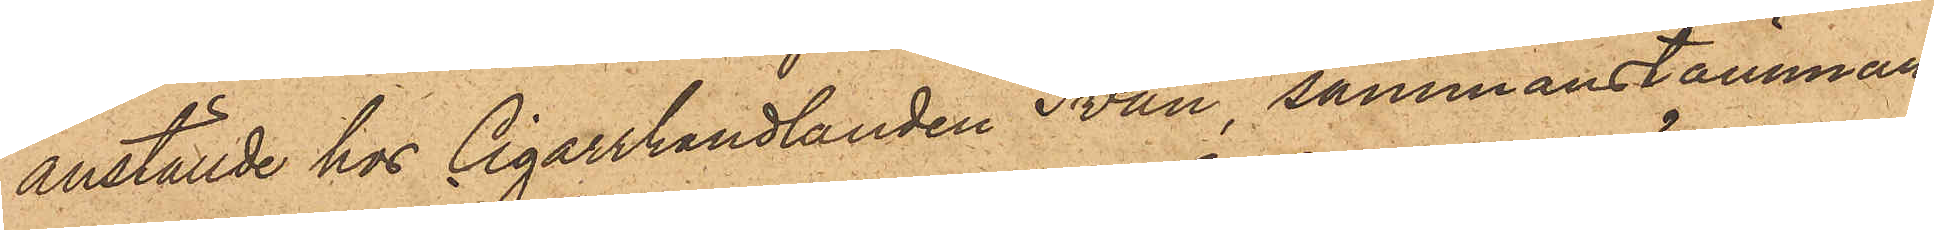anställde hos Cigarrhandlanden Svan sammanstämman¬
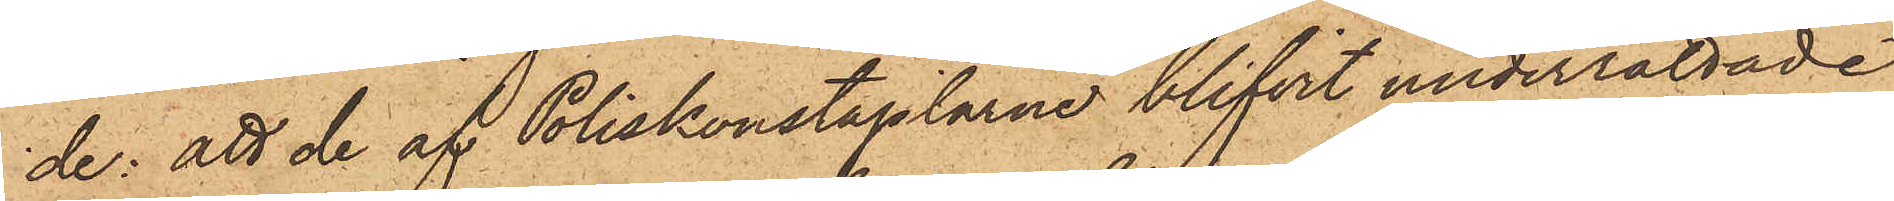de: att de af Poliskonstaplarne blifvit underrättade
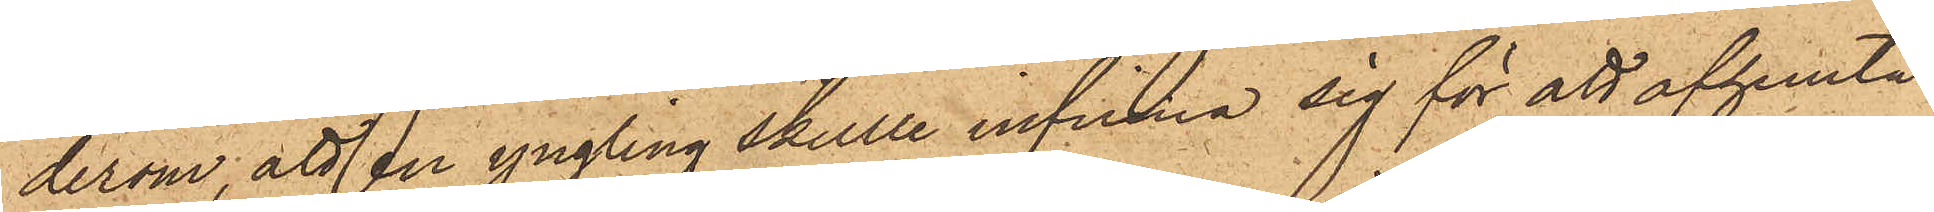derom, att en yngling skulle infinna sig för att afhemta
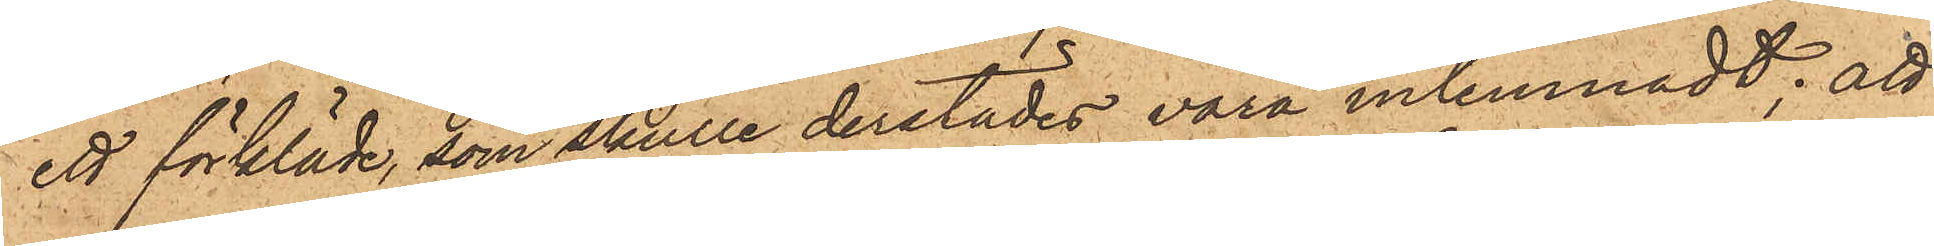ett förkläde, som skulle derstädes vara inlemnadt; att
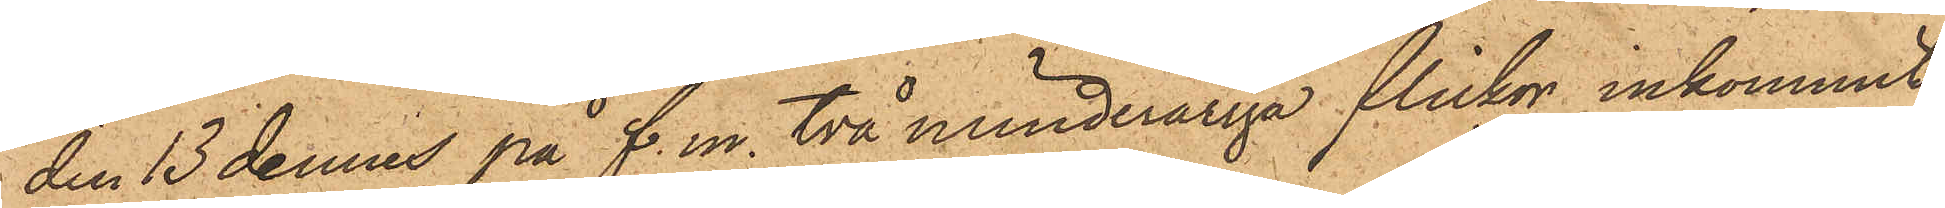den 13 dennes på f. m. två minderåriga flickor inkommit
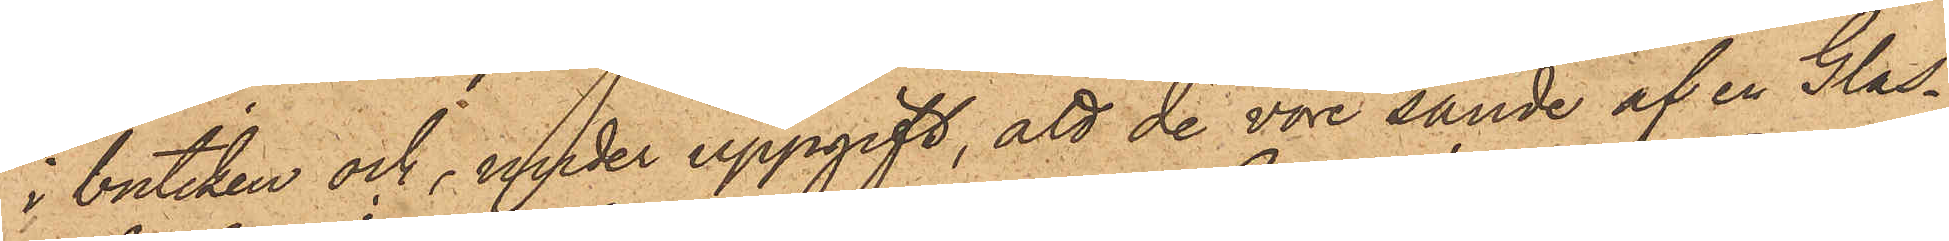i butiken och, under uppgift, att de vore sände af en Glas¬
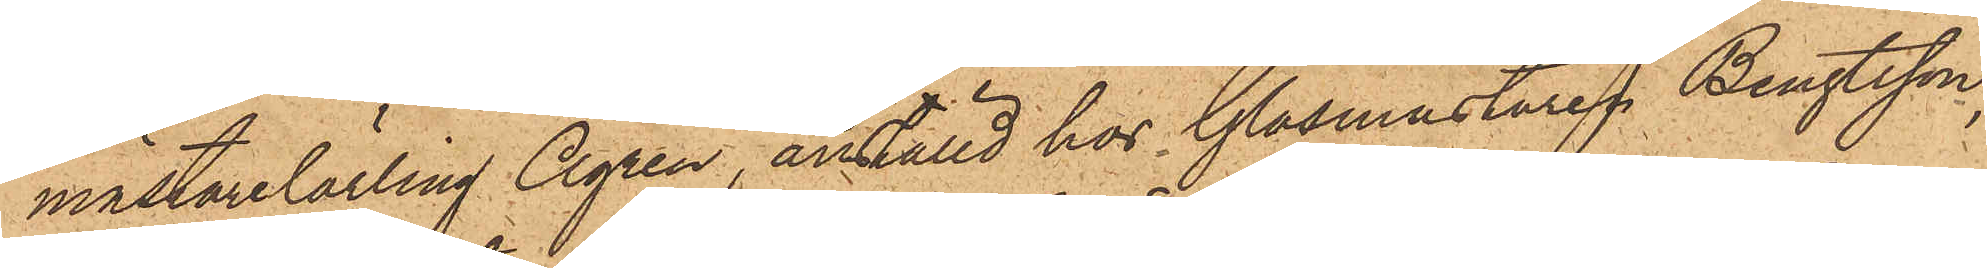mästarelärling Ågren, anställd hos Glasmästaren Bengtsson,
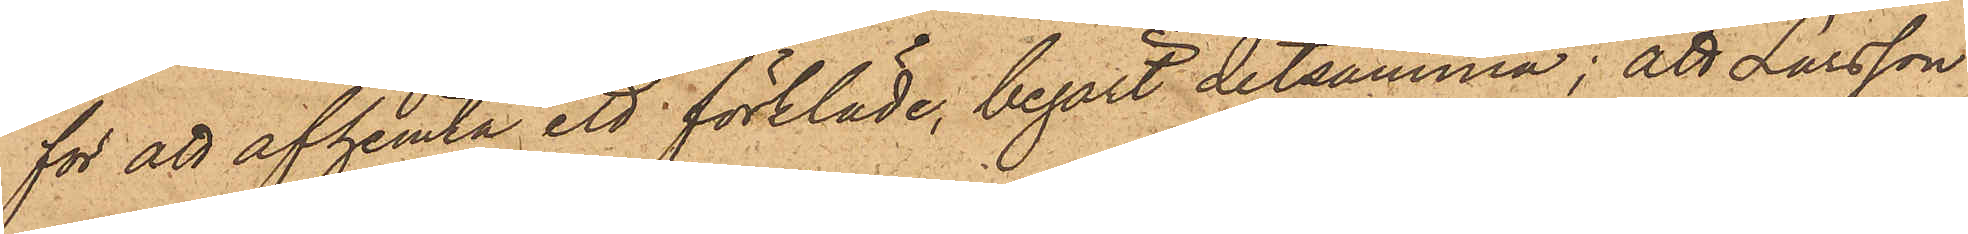för att afhemta ett förkläde, begärt detsamma; att Larsson
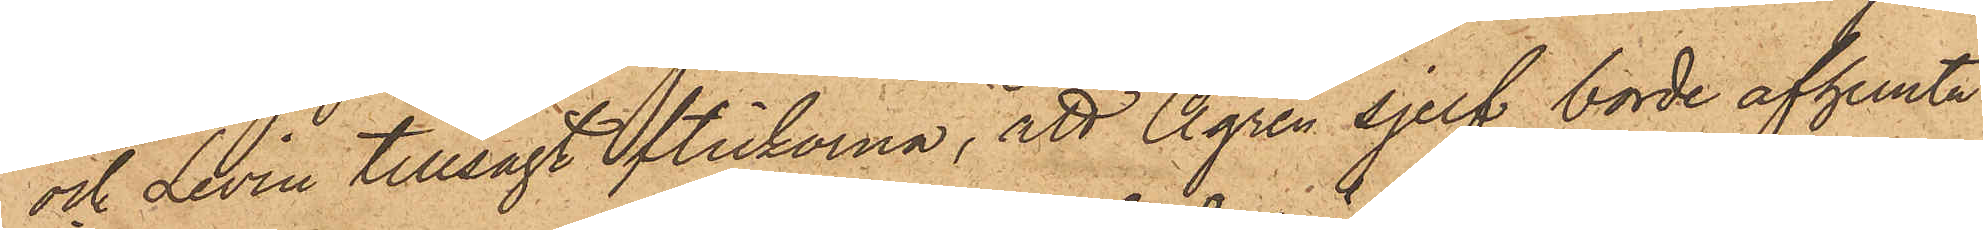och Levin tillsagt flickorna, att Ågren sjelf borde afhemta
